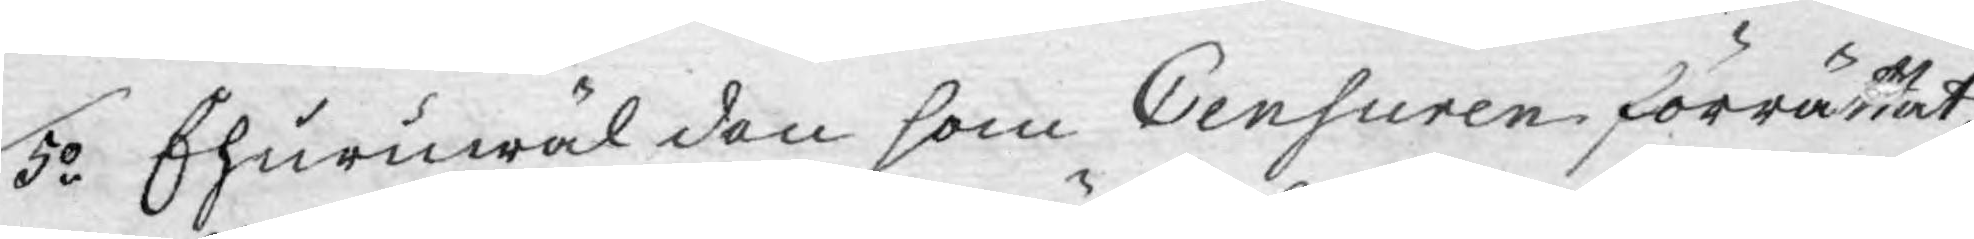5o Ehuruwäl den som Censuren förrättat,
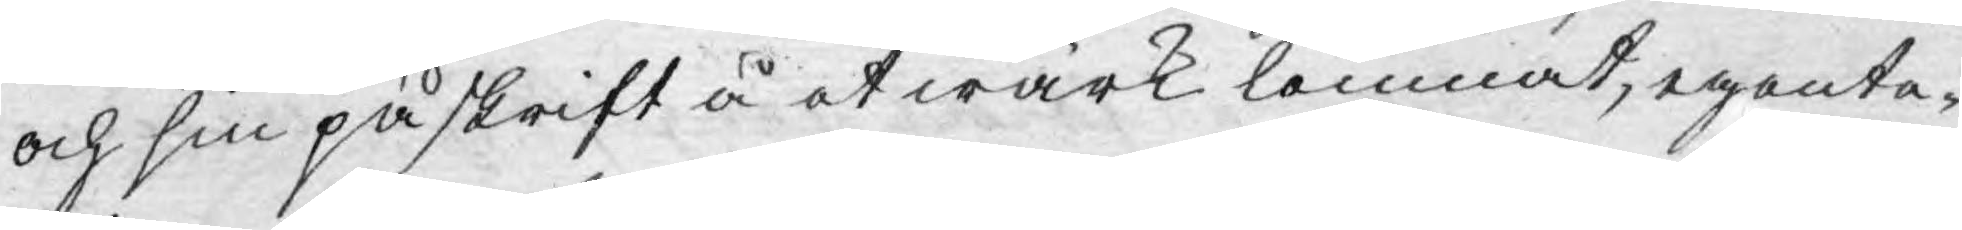och sin påskrift å et wärk lemnat, egente¬
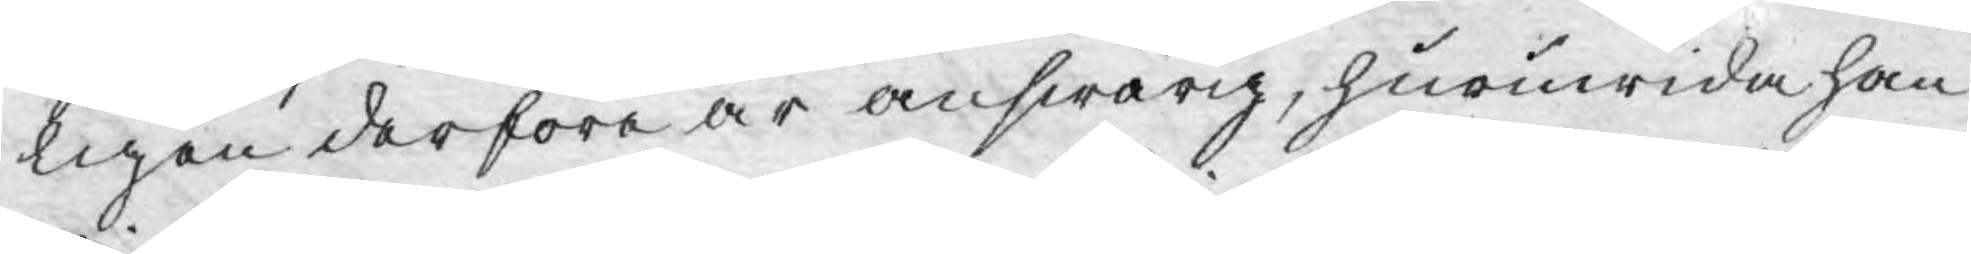ligen derföre är answarig, huruwida han
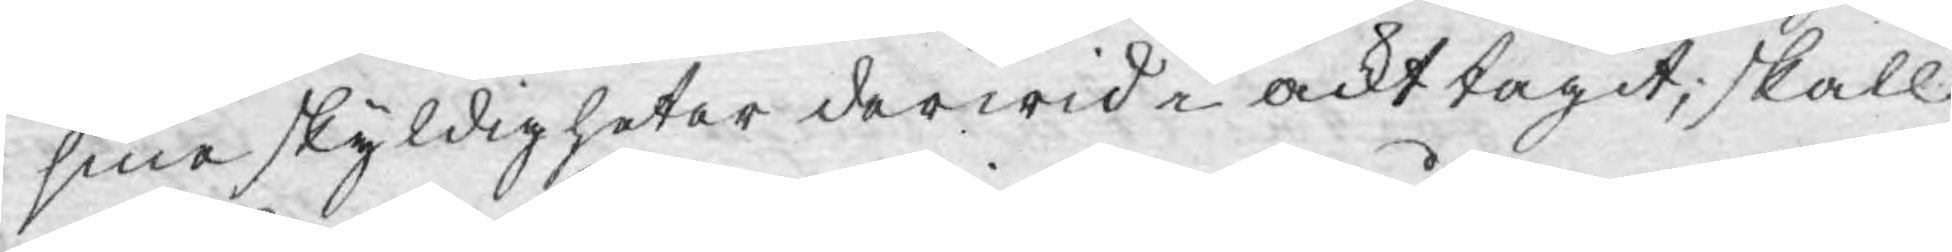sina skyldigheter derwid i ackt tagit, skall
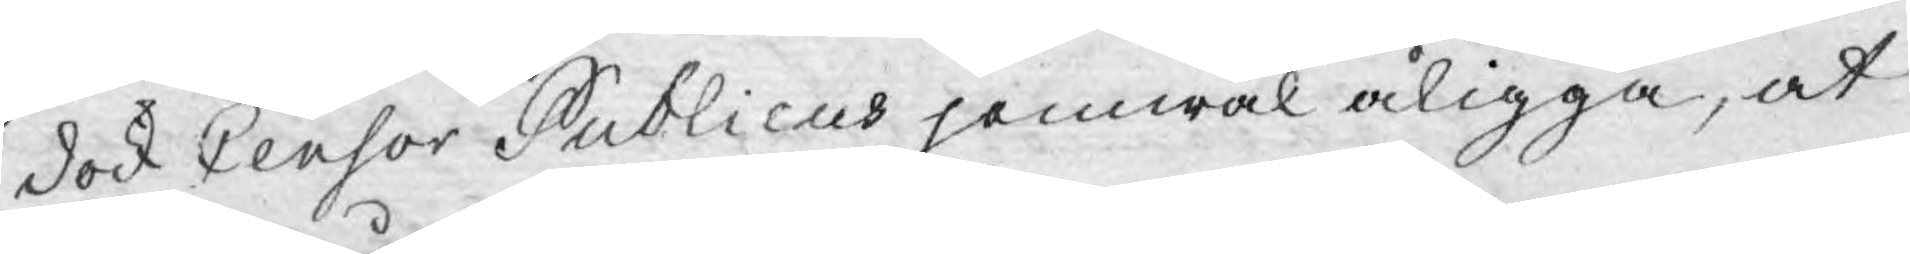dock Censor Publicus jämwäl åligga, at
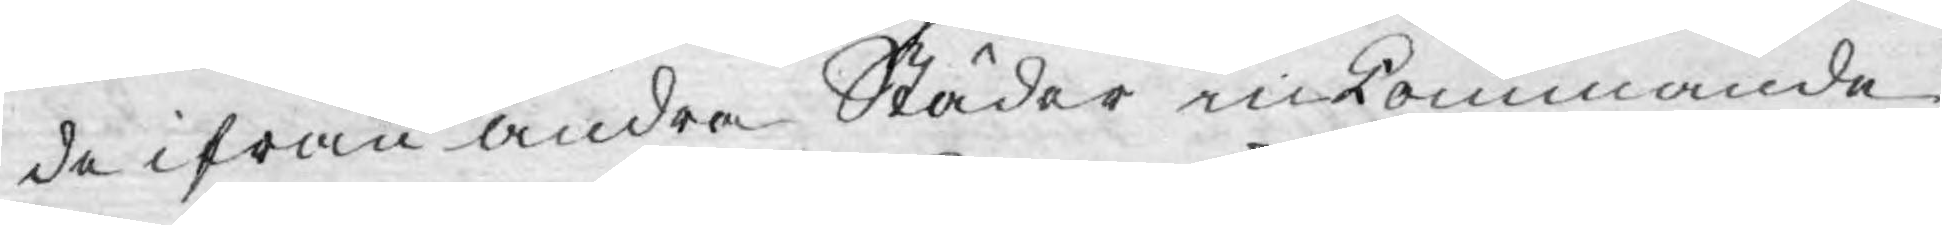de ifrån andra Städer inkommande
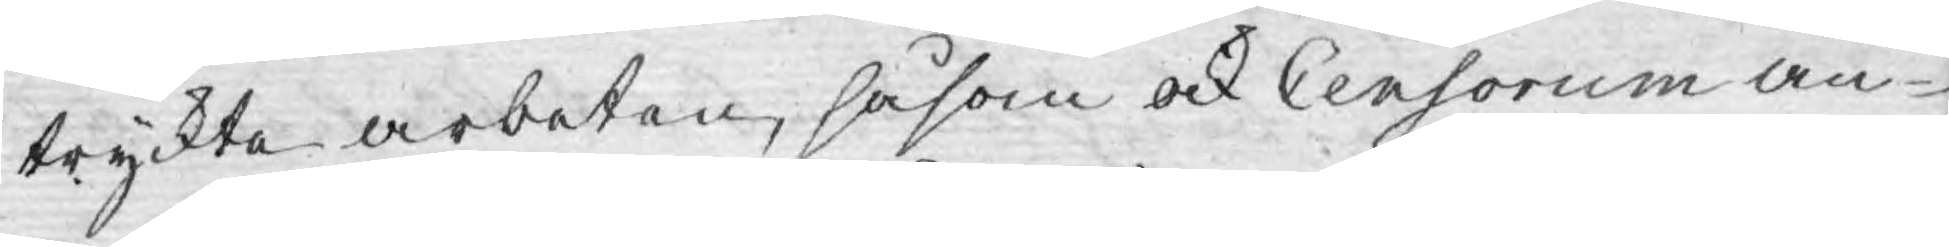tryckta arbeten, såsom ock Censorum an¬
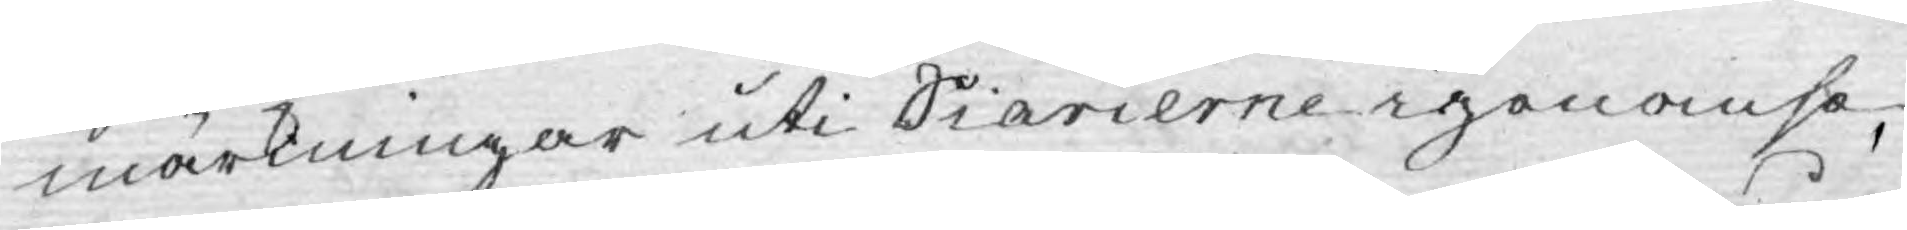märkningar uti Diarierne igenomse,
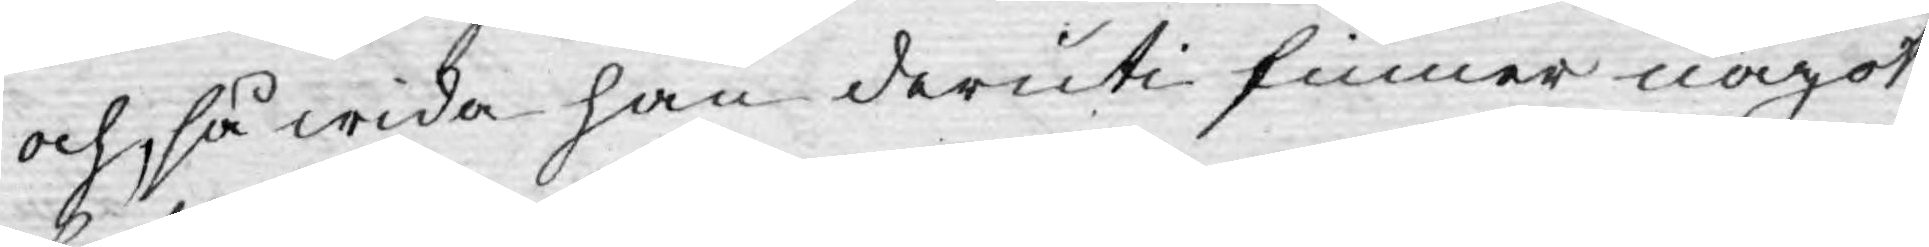och så wida han deruti finner något
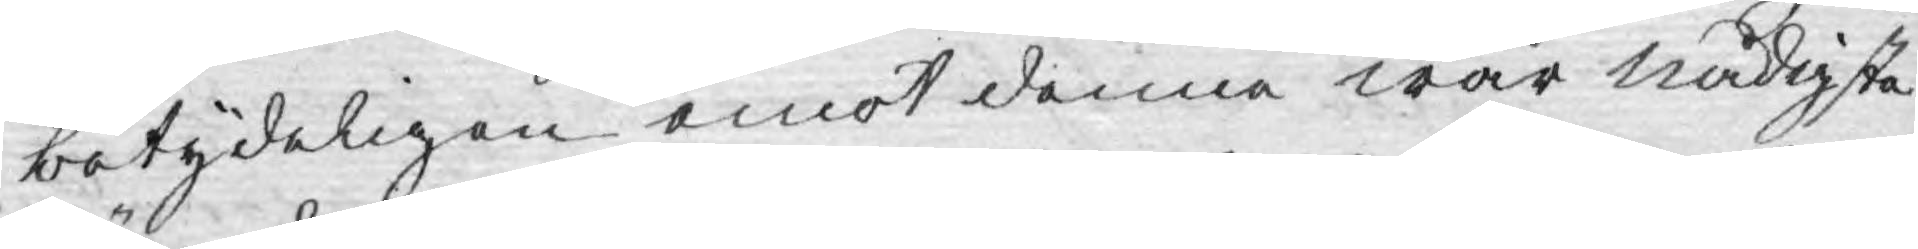betydeligen emot denna wår nådigste
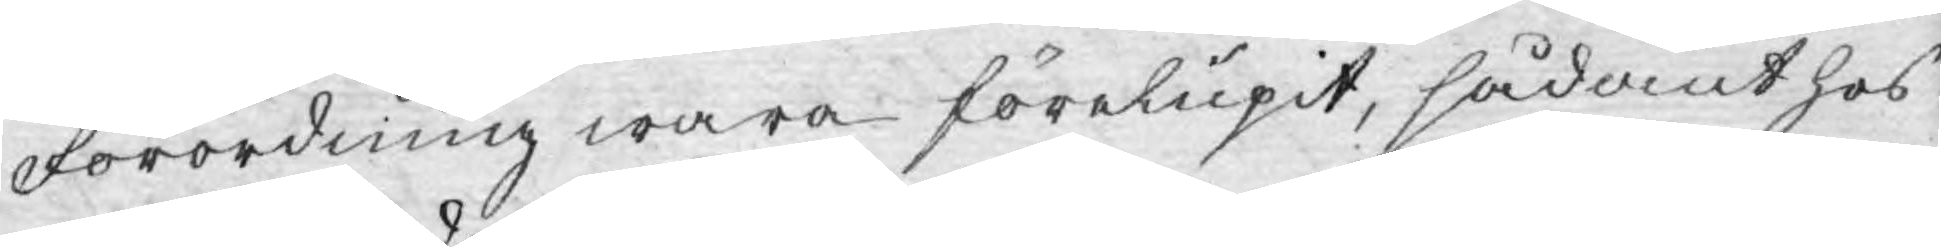Förordning wara förelupit, sådant hos
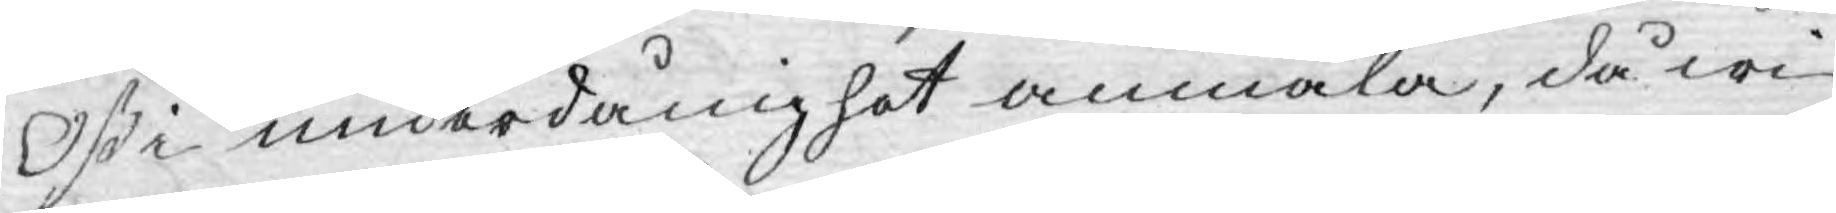Oß i underdånighet anmäla, då wi
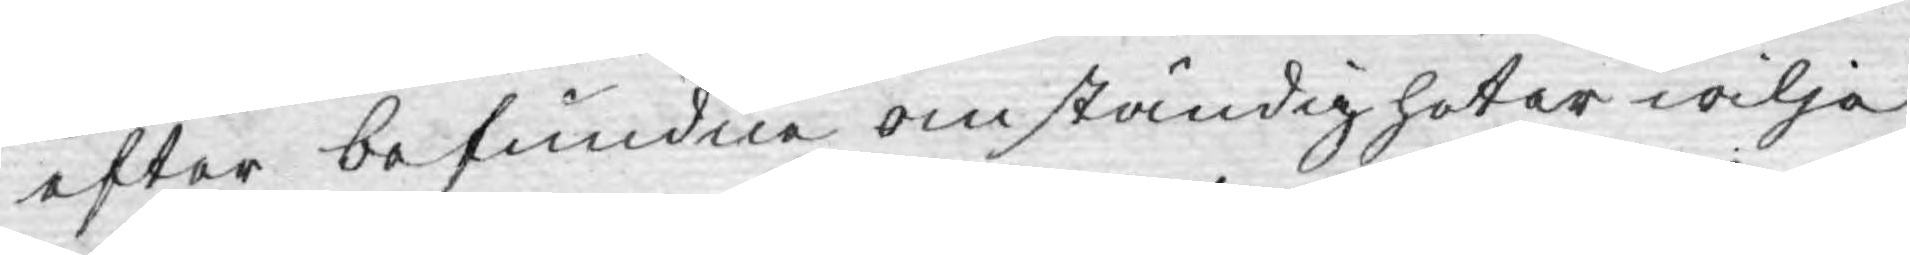efter befundne omständigheter wilja
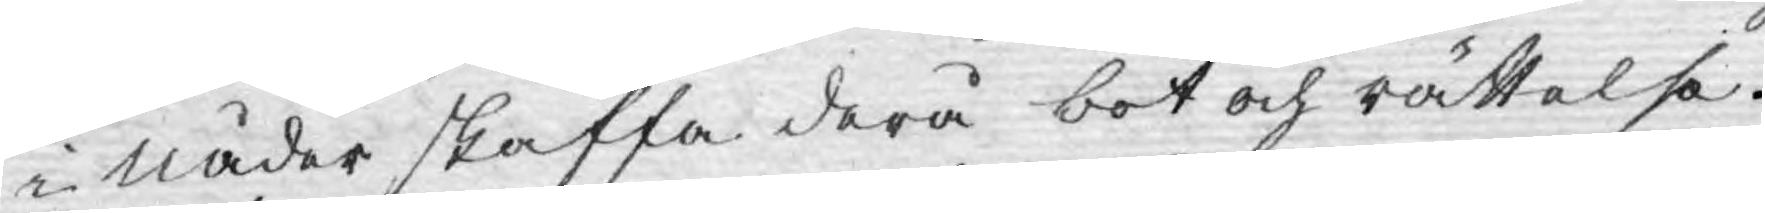i Nåder skaffa derå bot och rättelse.
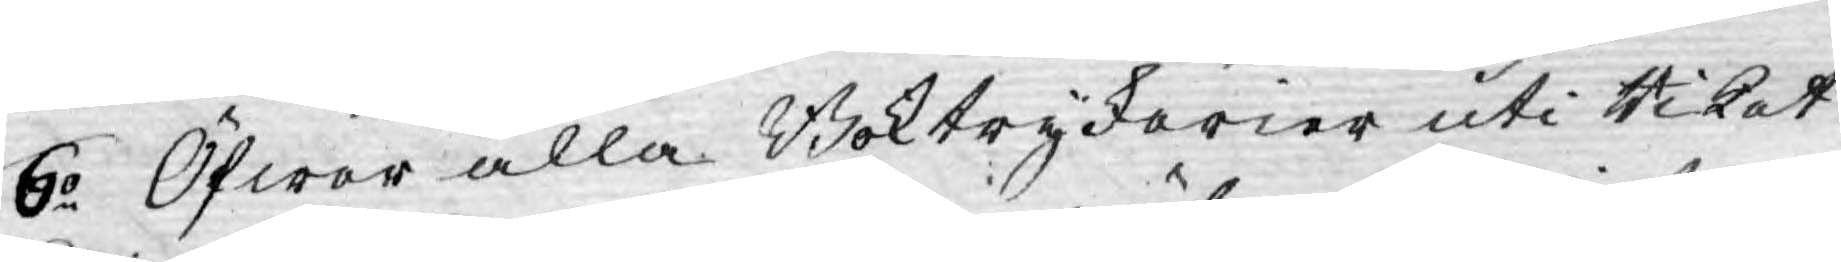6o Öfwer alla Boktryckerier uti Riket
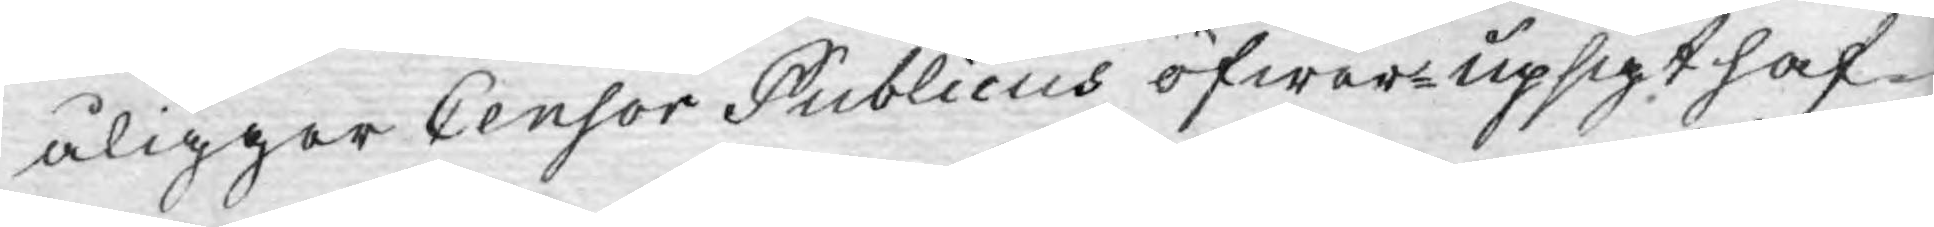åligger Censor Publicus öfwer-upsigt haf¬
